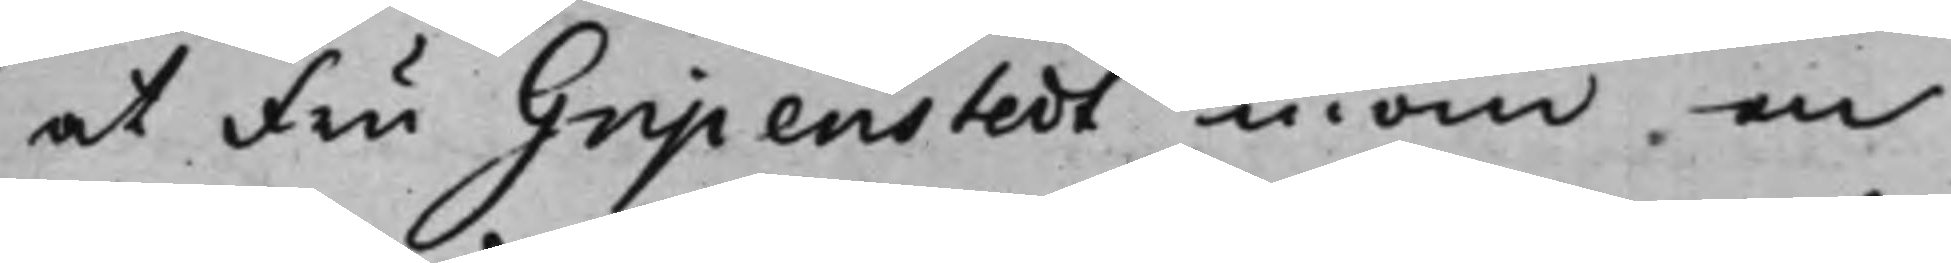at Fru Gripenstedt inom en
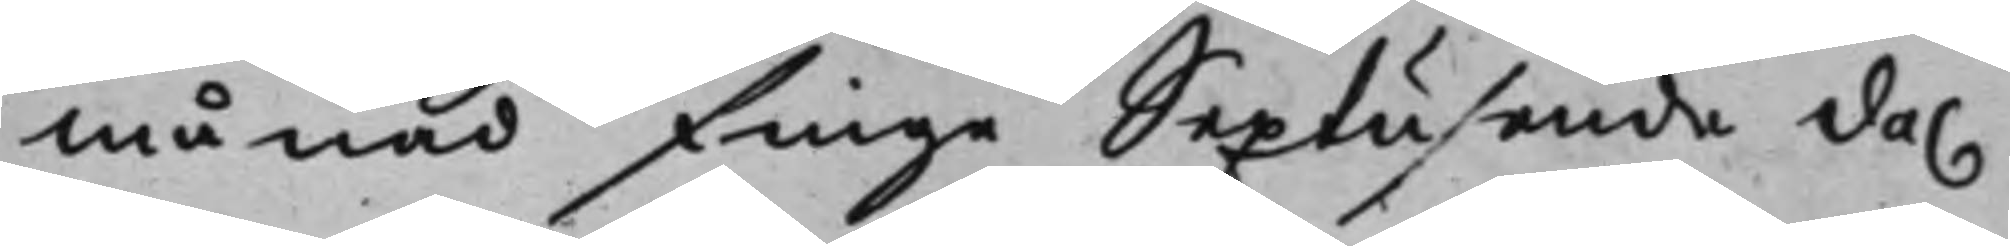Månad finge Sextusende da.
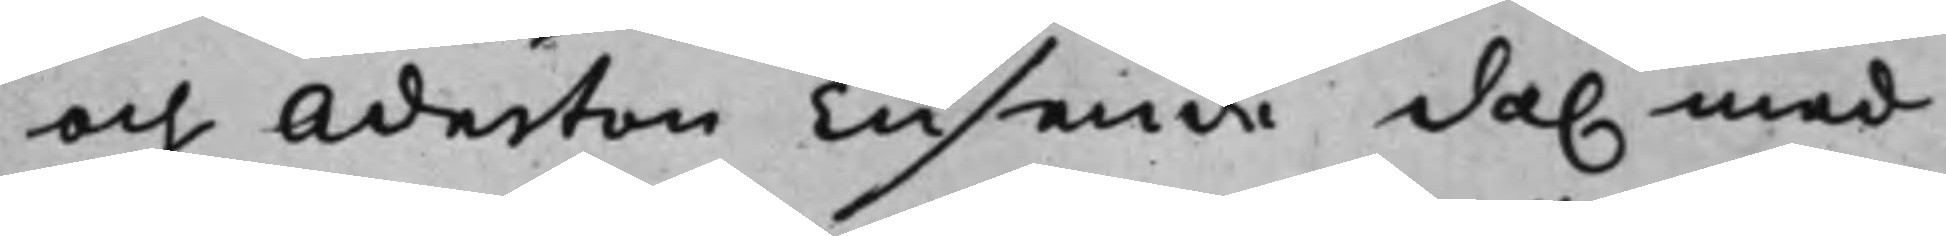och Aderton Tusende da. med 
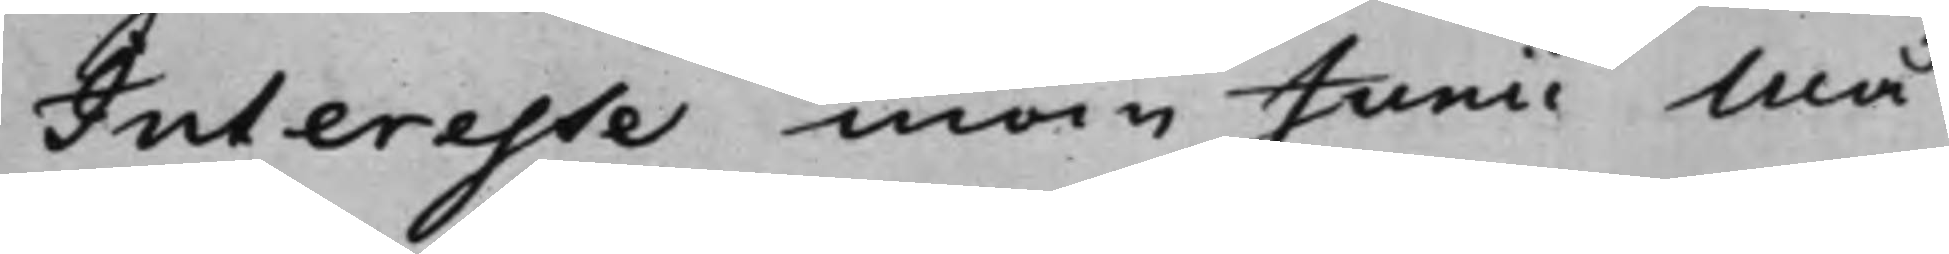Interesse inom Junii Må¬
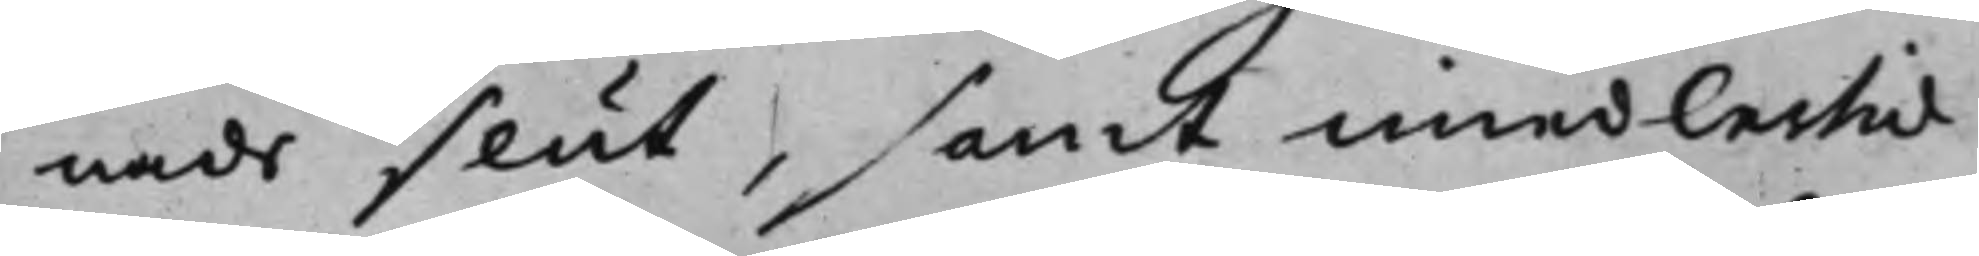nads slut, samt imedlertid
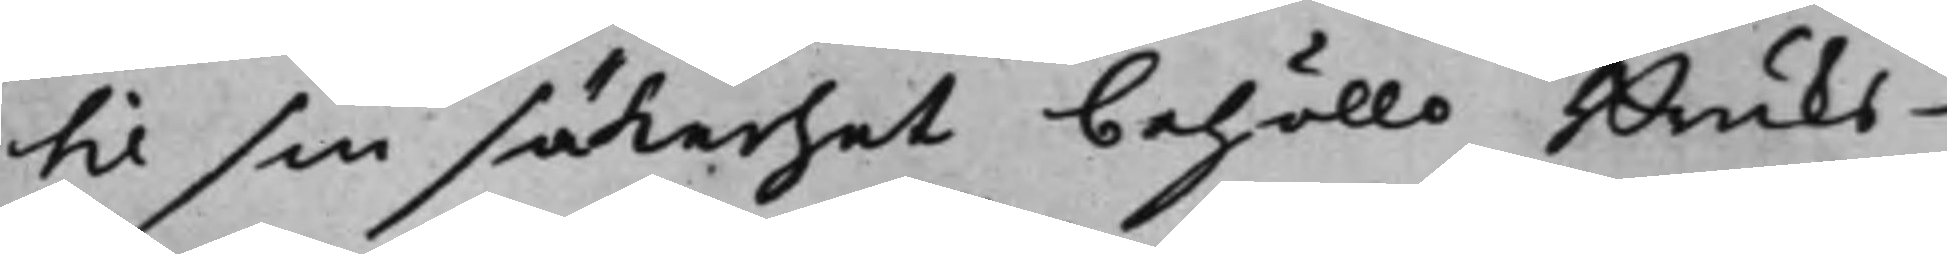til sin säkerhet behöllo Bruks¬
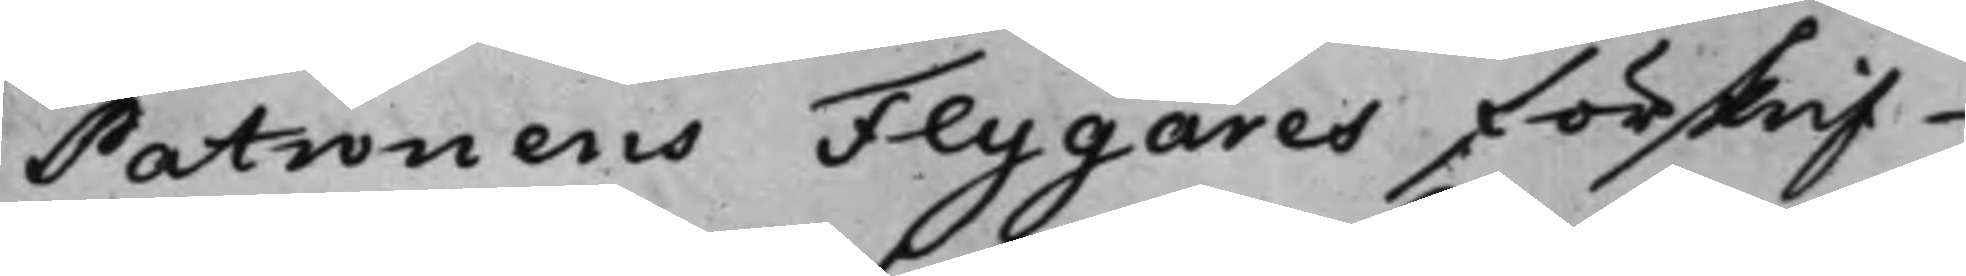Patronens Flygares förskrif¬
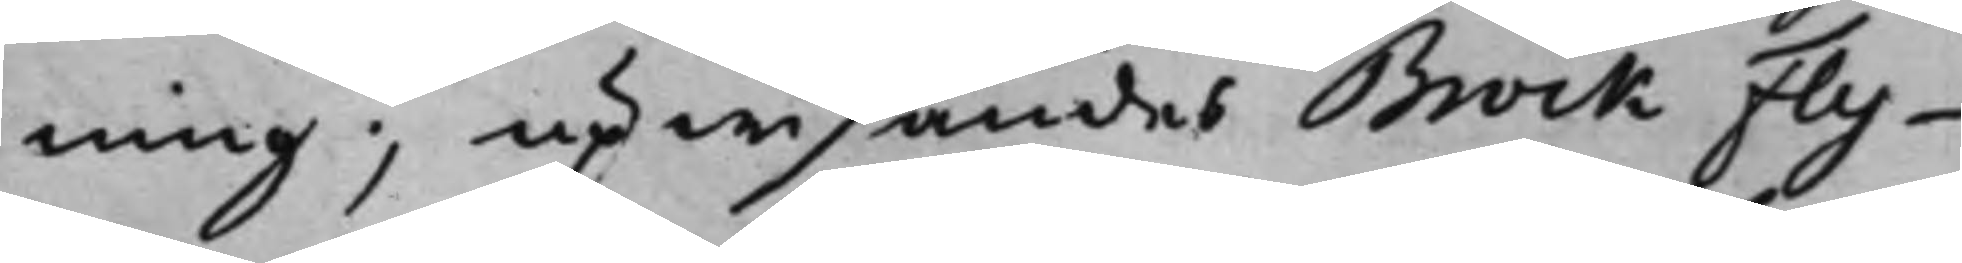ning, upwisandes Brock Fly¬
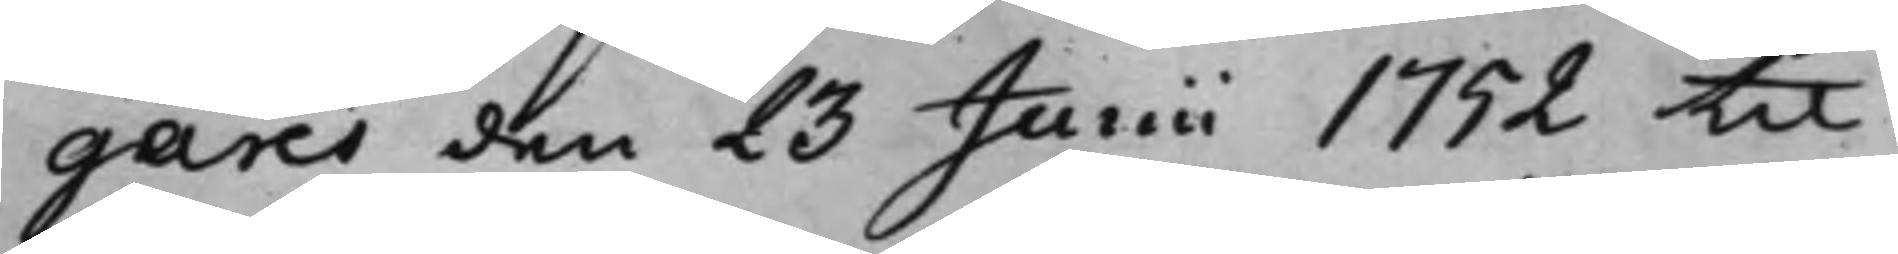gares den 23 Junii 1752 til
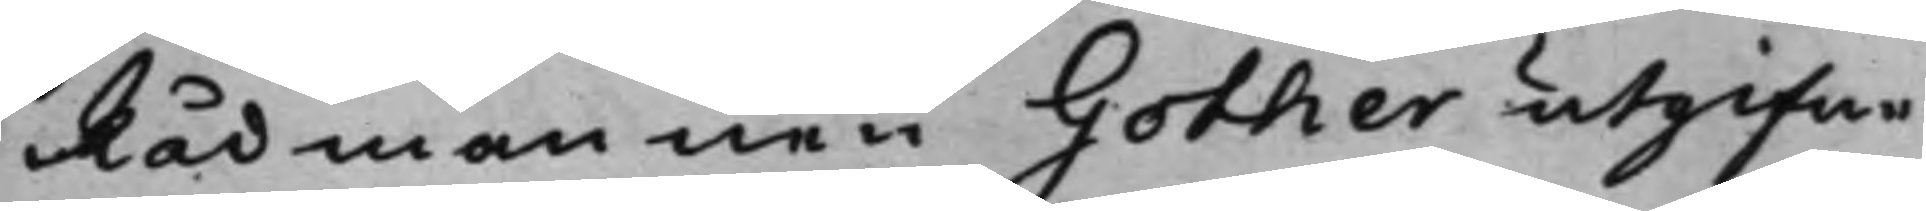Rådmannen Gother utgifne
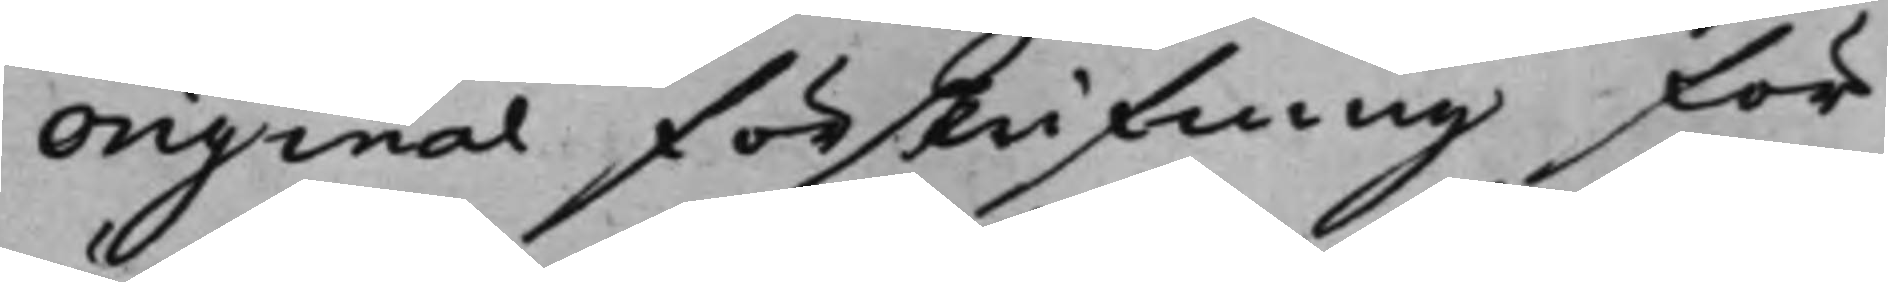Original förskrifning för
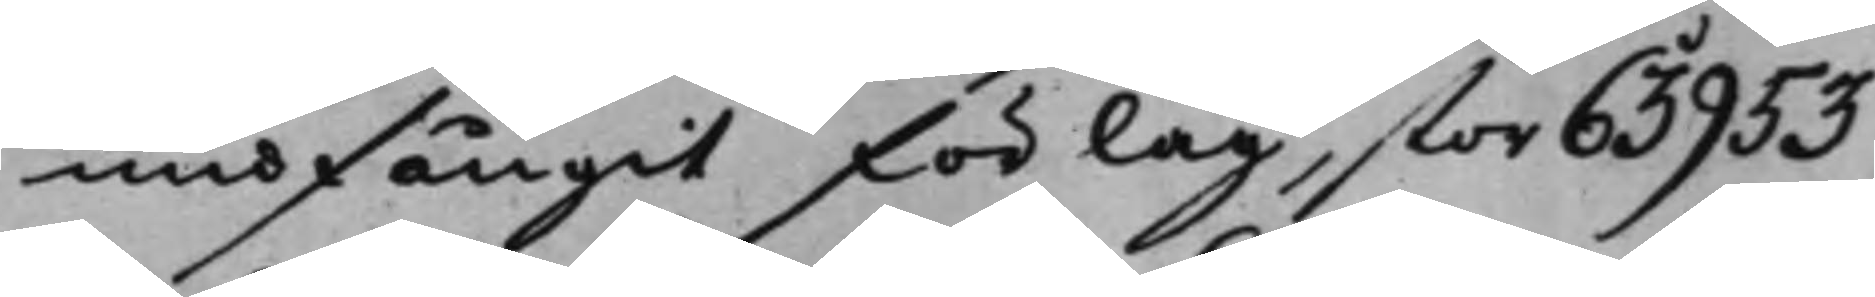undfångit förlag, stor 63953
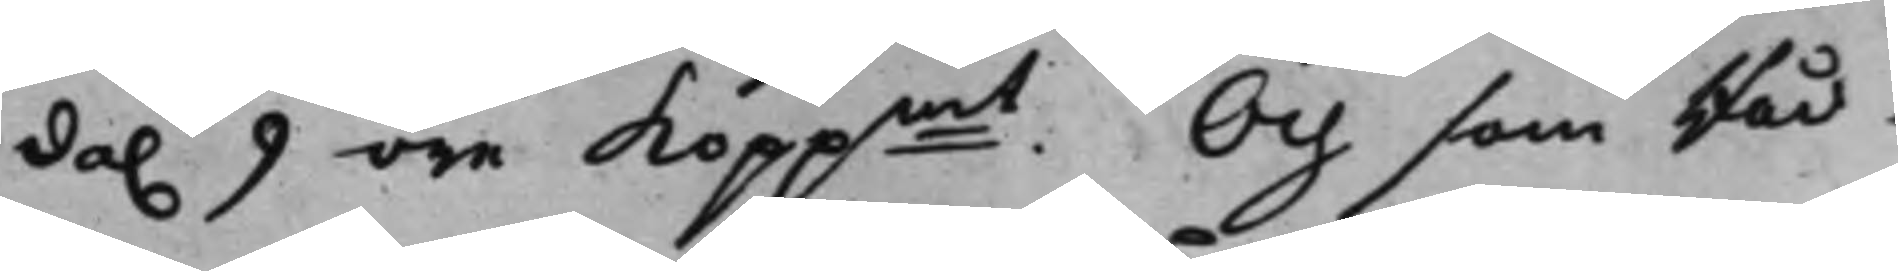da. 9 öre koppmt. Och som Råd¬ 
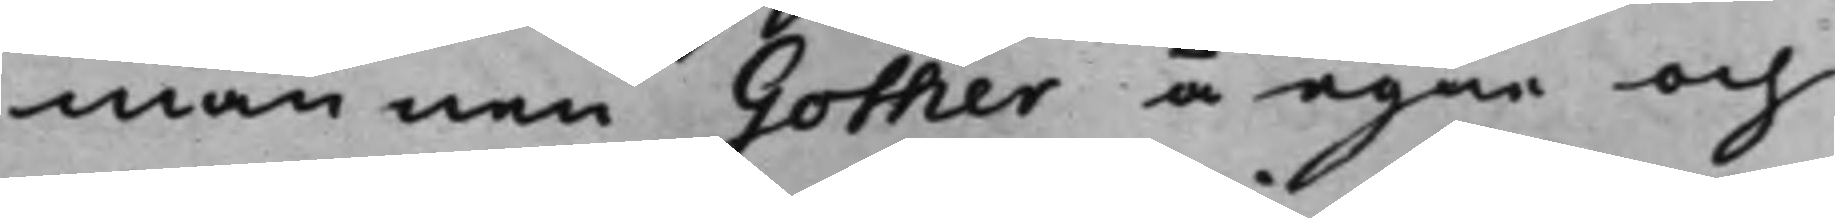mannen Gother å egne och
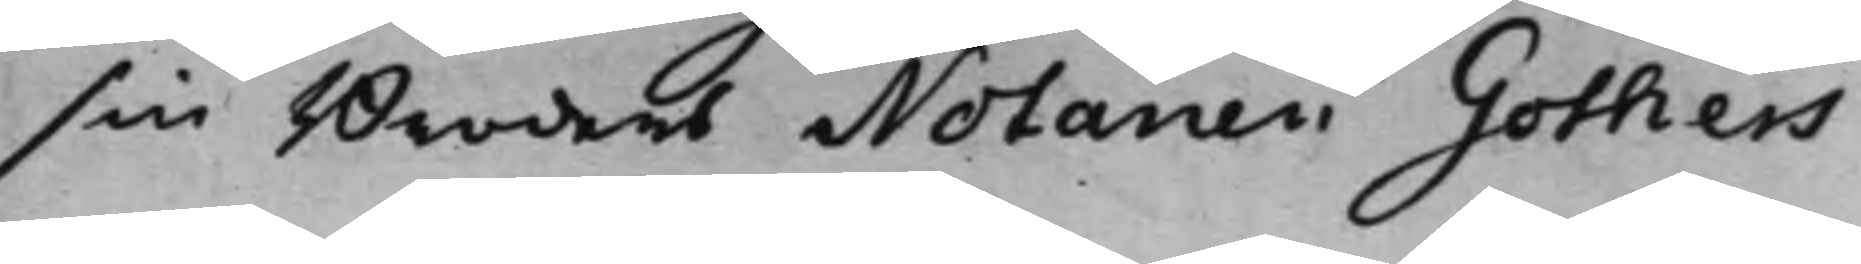sin Broders Notarien Gothers
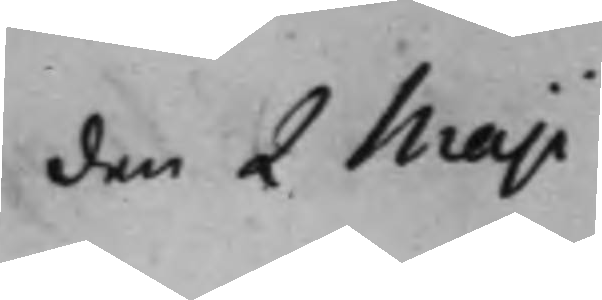den 2 Maji
